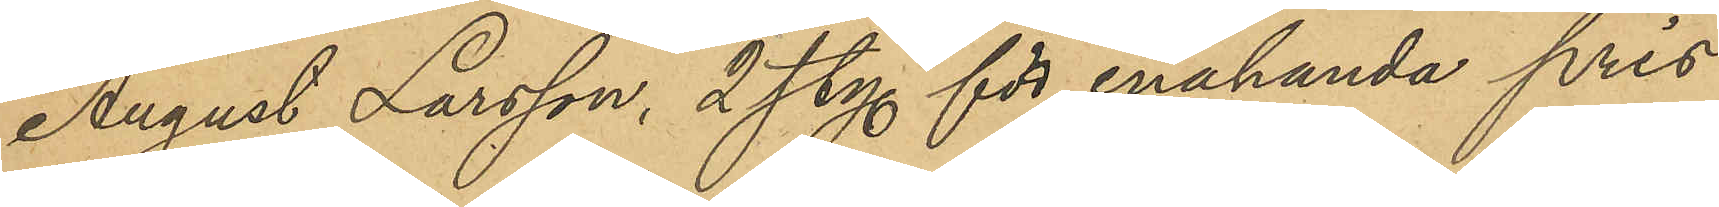August Larsson, 2 sty. för enahanda pris
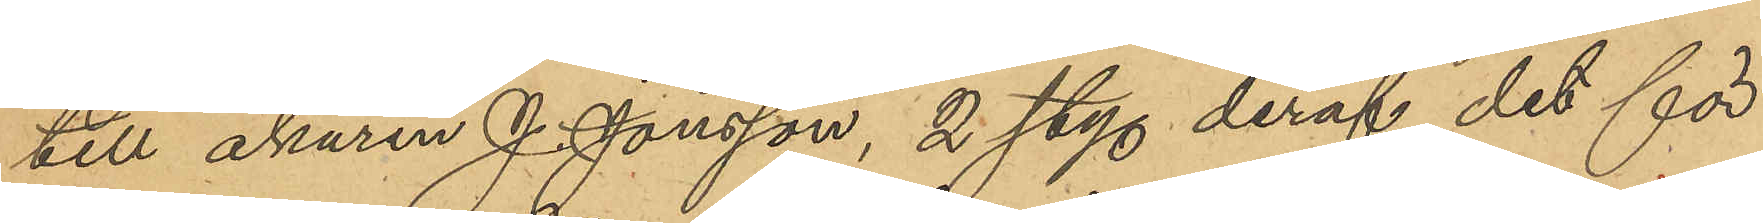till åkaren J. Jonsson, 2 sty. deraf det för
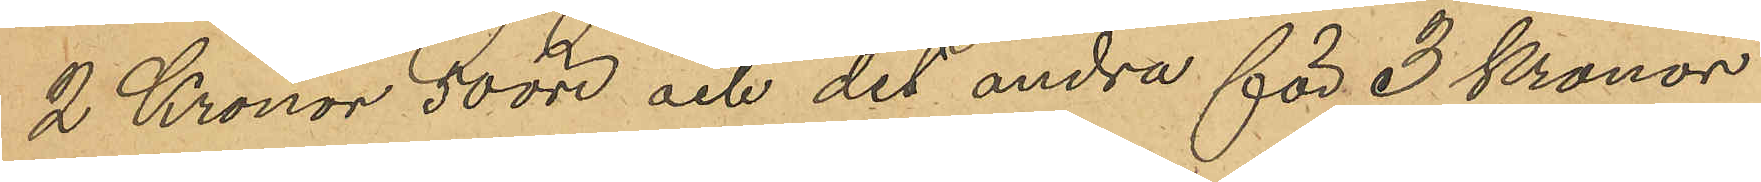2 Kronor 50 öre och det andra för 3 Kronor
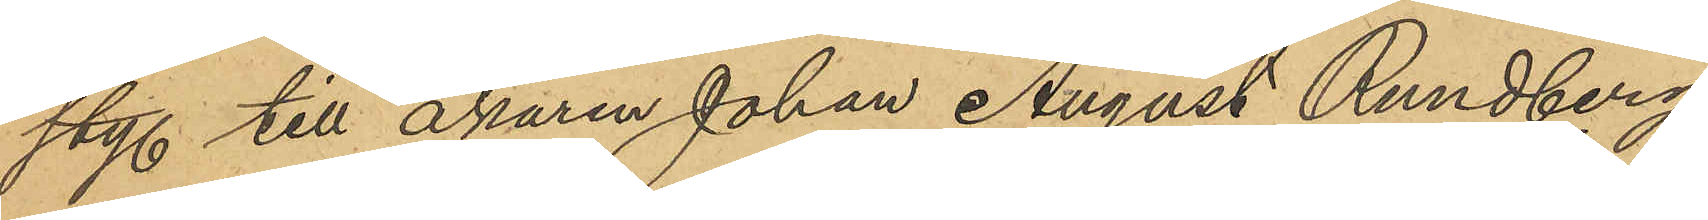styf. till åkaren Johan August Rundberg
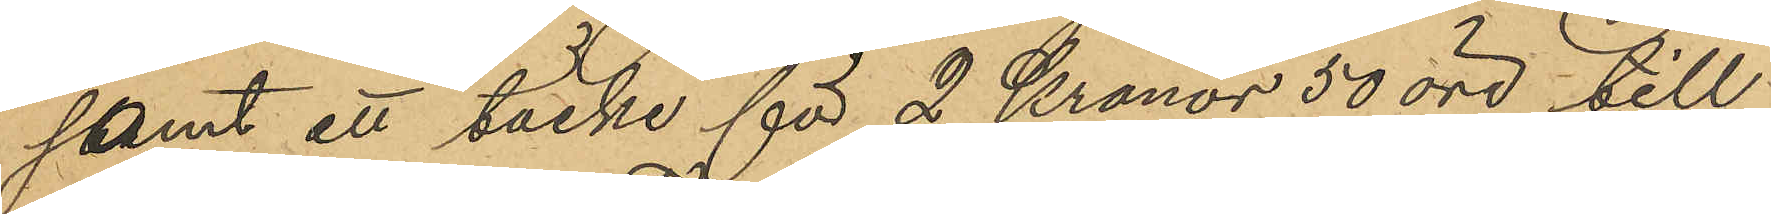stamt ett täcke för 2 Kronor 50 öre till
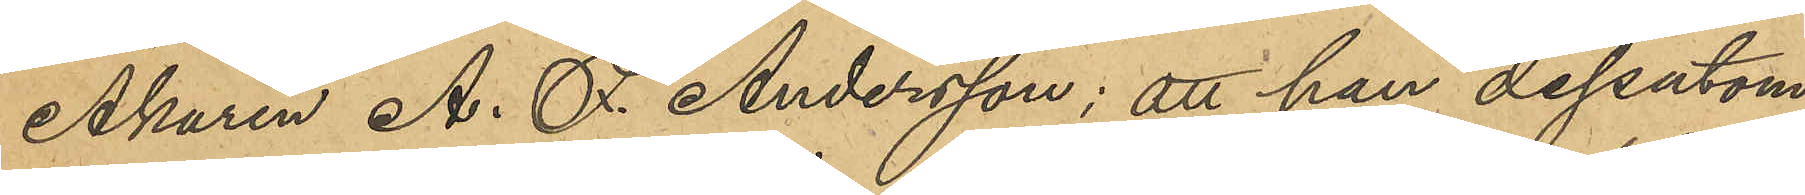Åkaren A. F. Andersson; att han dessutom
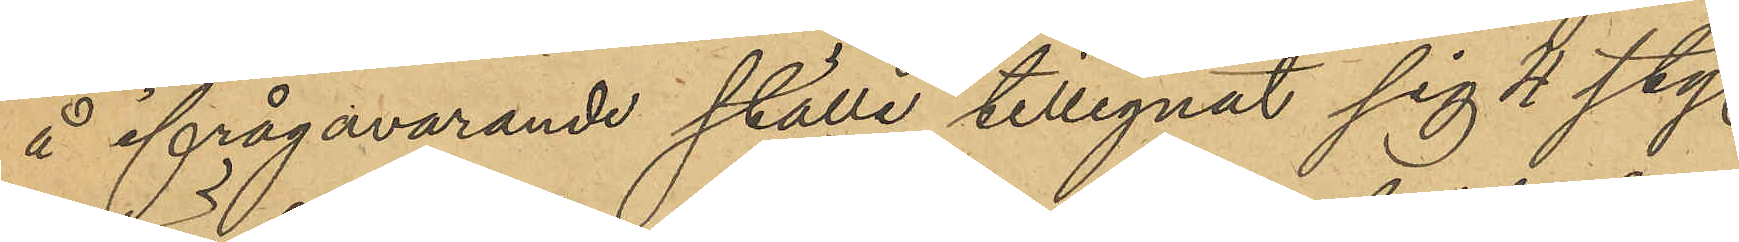å ifrågavarande ställe tillegnat sig 4 sty.
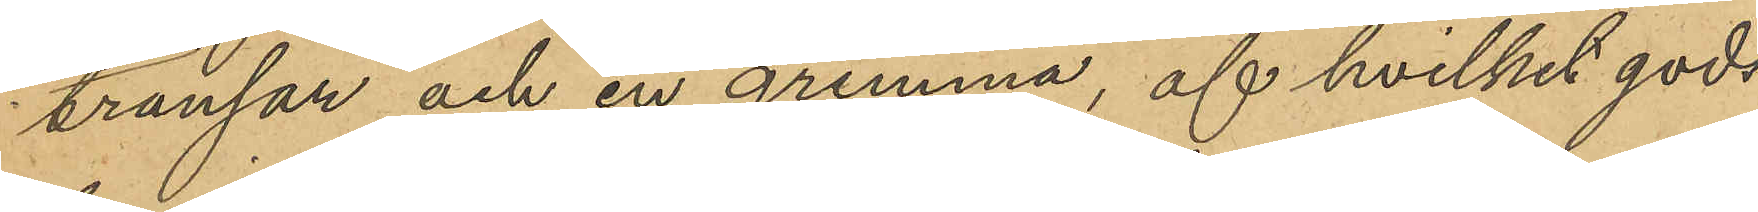tränsar och en grimma, af hvilket gods
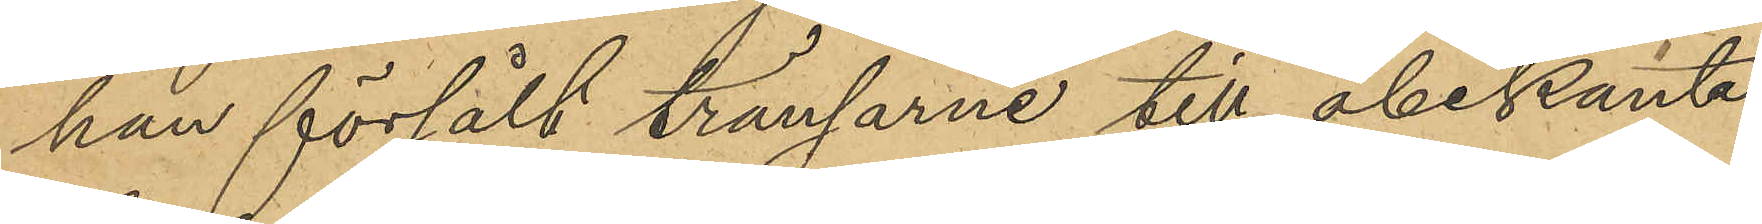han försålt tränsarne till obekante
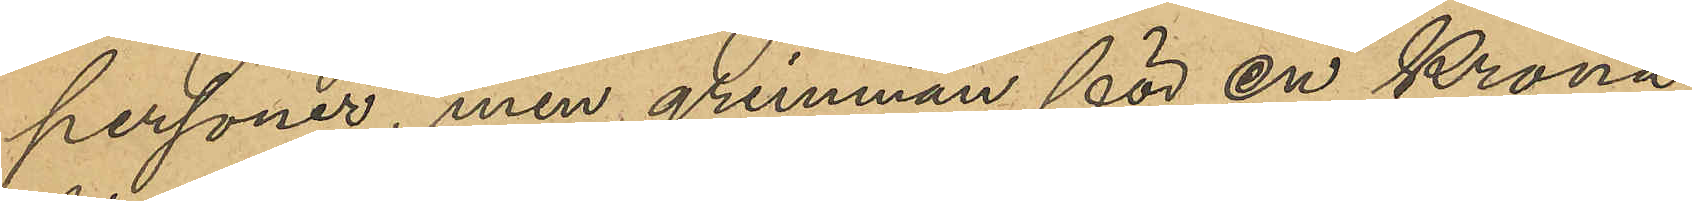personer, men grimman för en Krona
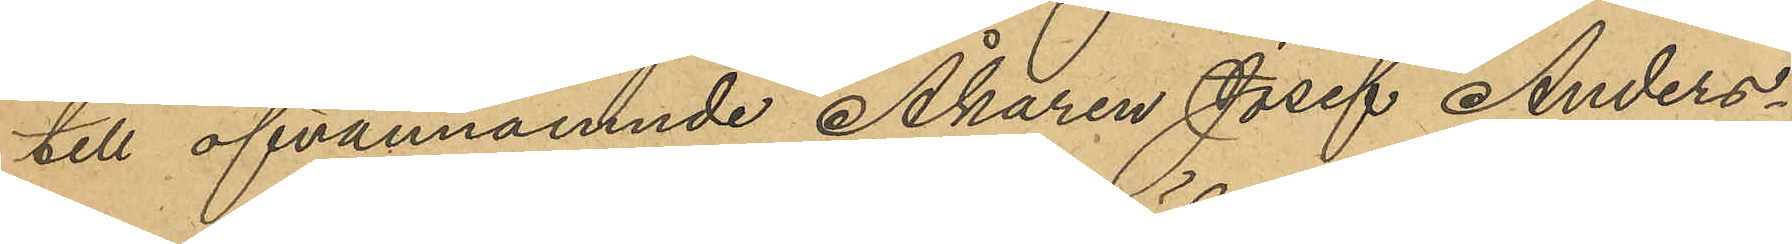till ofvannämnde Åkaren Josef Anders¬
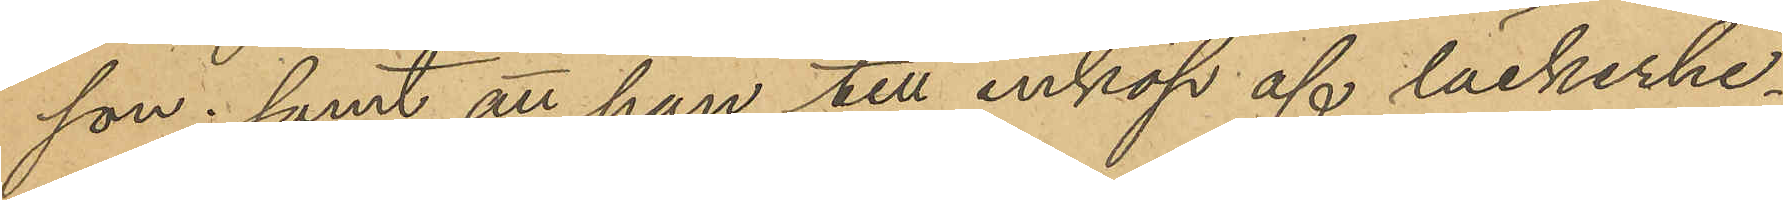son; samt att han till inköp af läckerhe¬
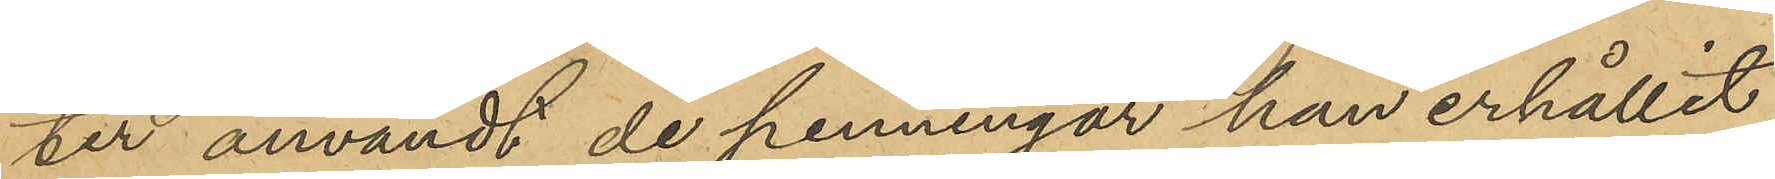ter användt de penningar han erhållit
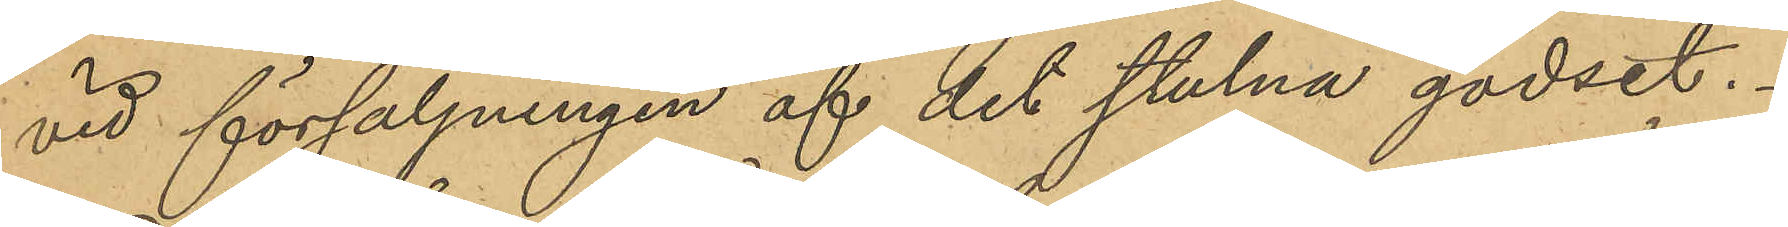vid försäljningen af det stulna godset.
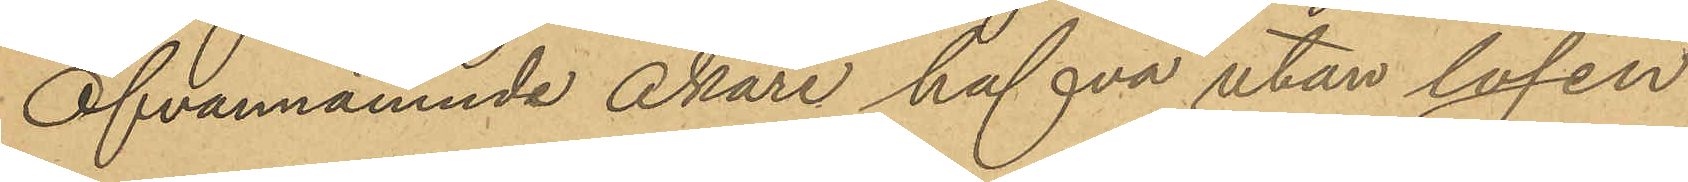Ofvannämnde Åkare hafva utan lösen
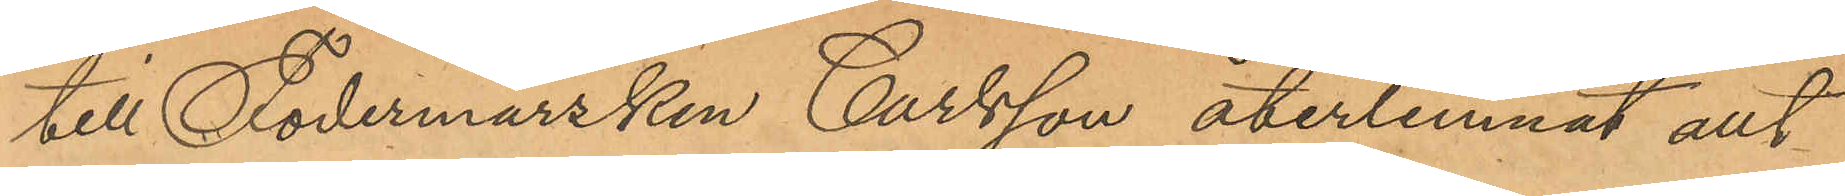till Fodermarsken Carlsson återlemnat allt
